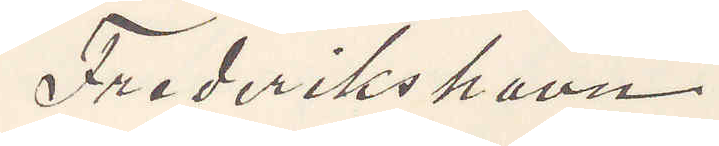Frederikshavn
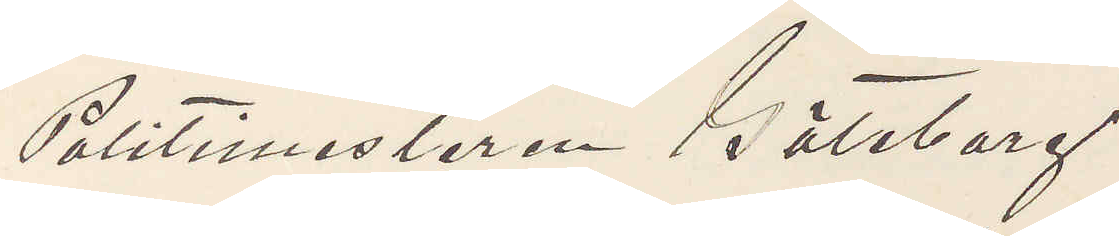Politimestaren Göteborg
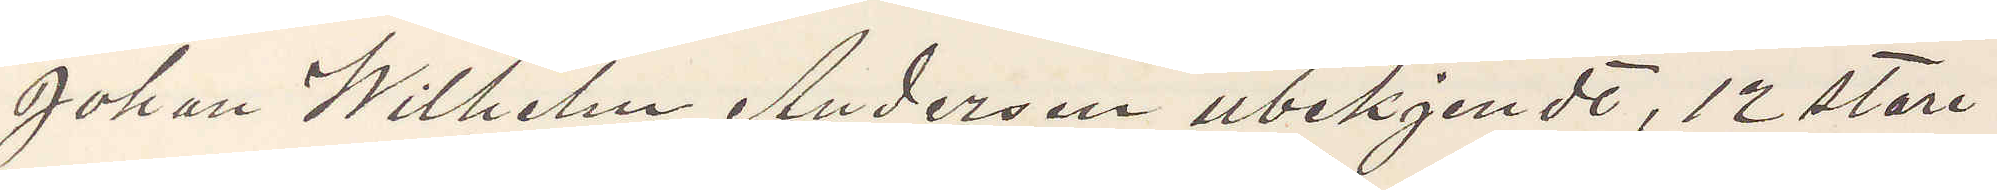Johan Wilhelm Anderson ubekjendt, 12 store
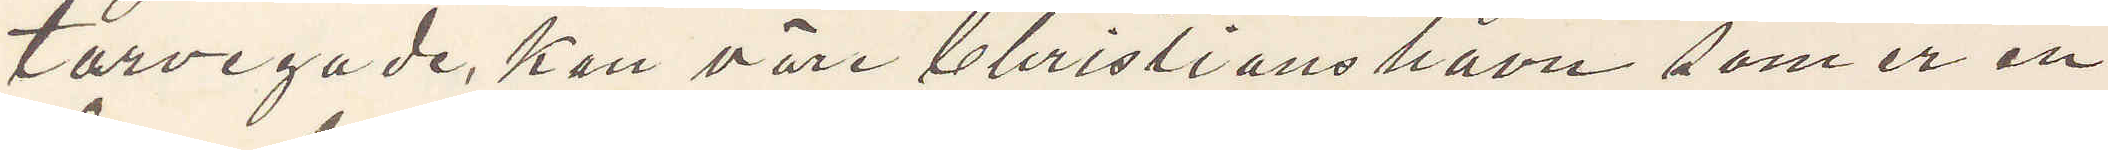torvegade. Kan väre Christianshavn som er en
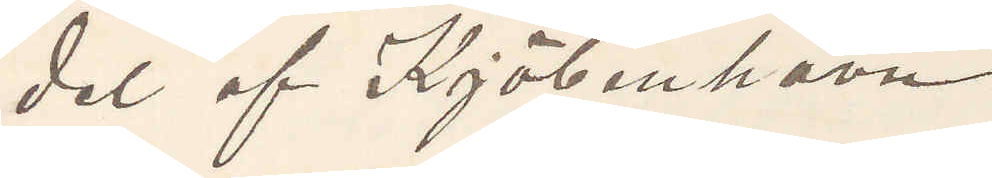del af Kjöbenhavn.
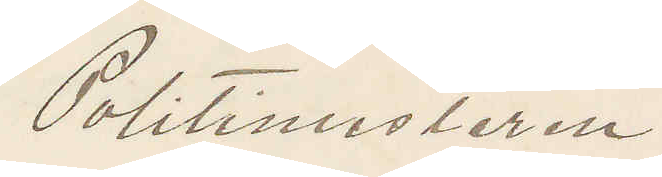Politimesteren
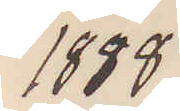1888
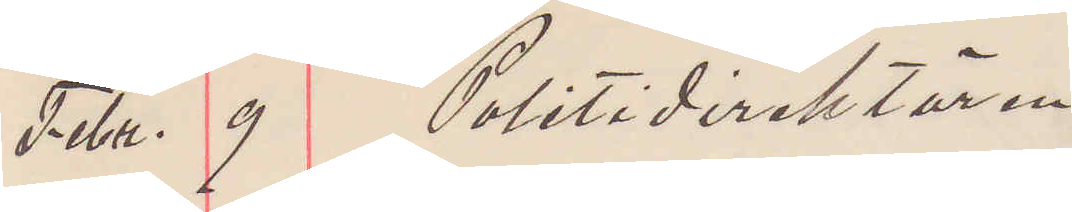Febr. 9 Politidirektören
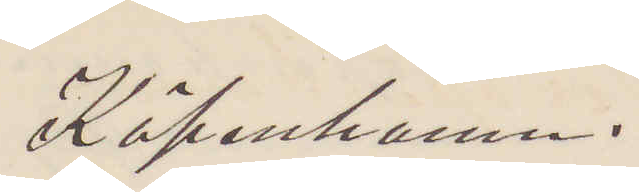Köpenhamn.
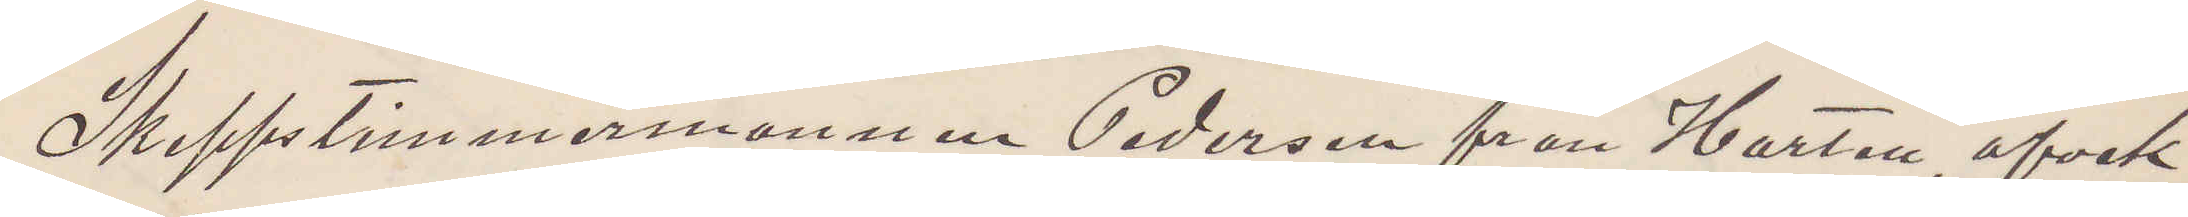Skeppstimmermannen Pederson från Harten, afvek
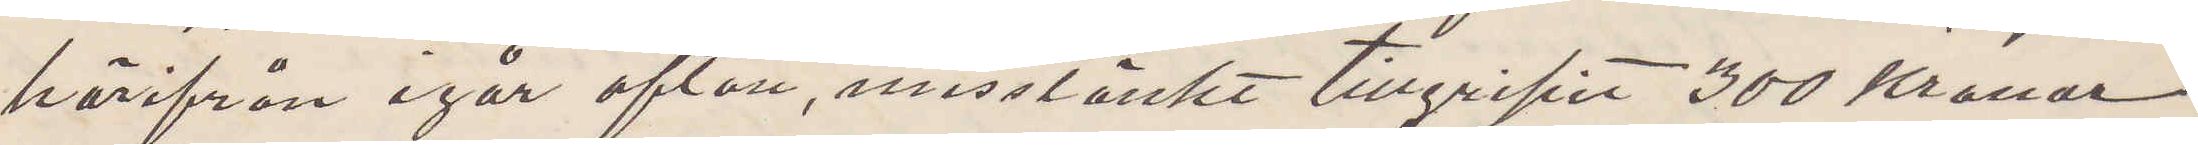härifrån igår afton, misstänkt tillgripit 300 Kronor
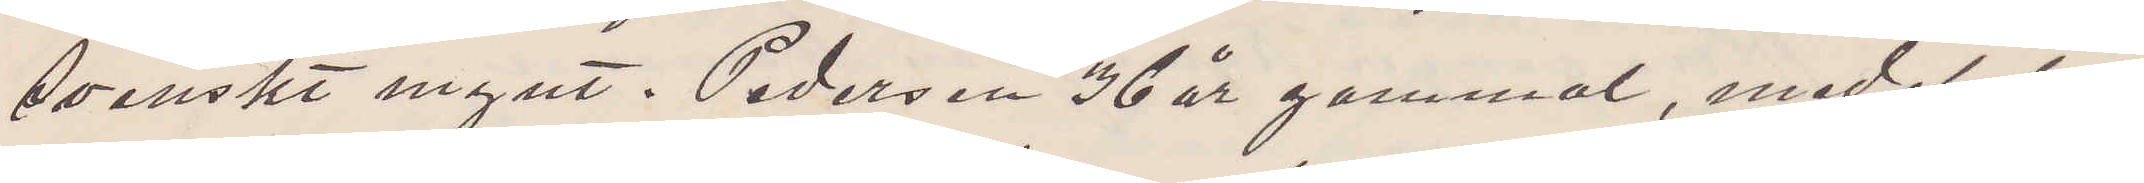Svenskt mynt. Pedersen 36 år gammal, medelstor,
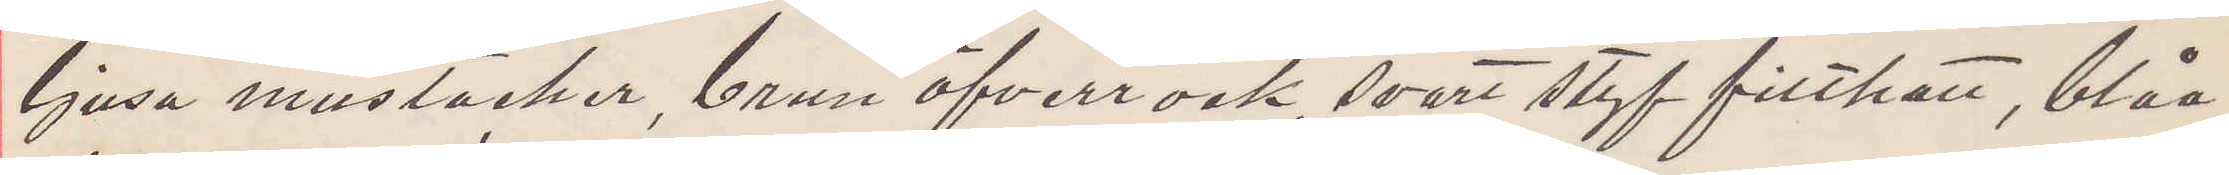ljusa mustacher, brun öfverrock, svart styf filthatt, blåa
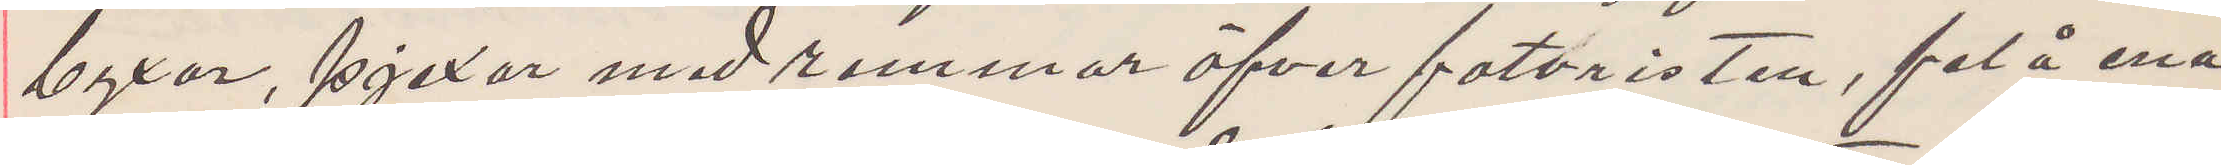byxor, pjexor med remmar öfver fotvristen, fel å ena
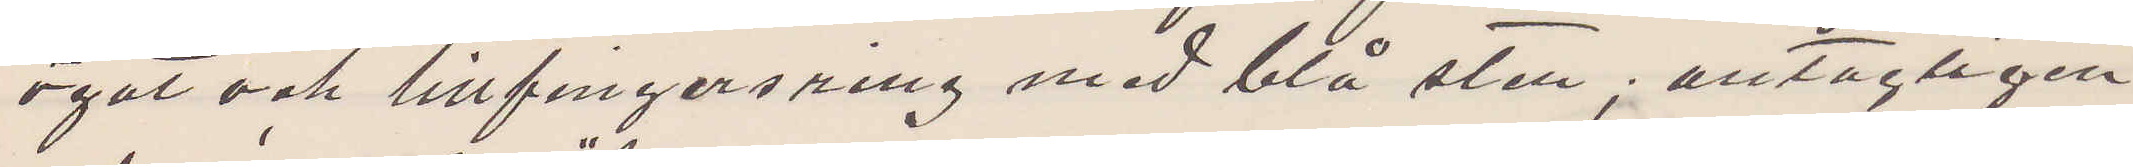ögat och lillfingersring med blå sten; antagligen
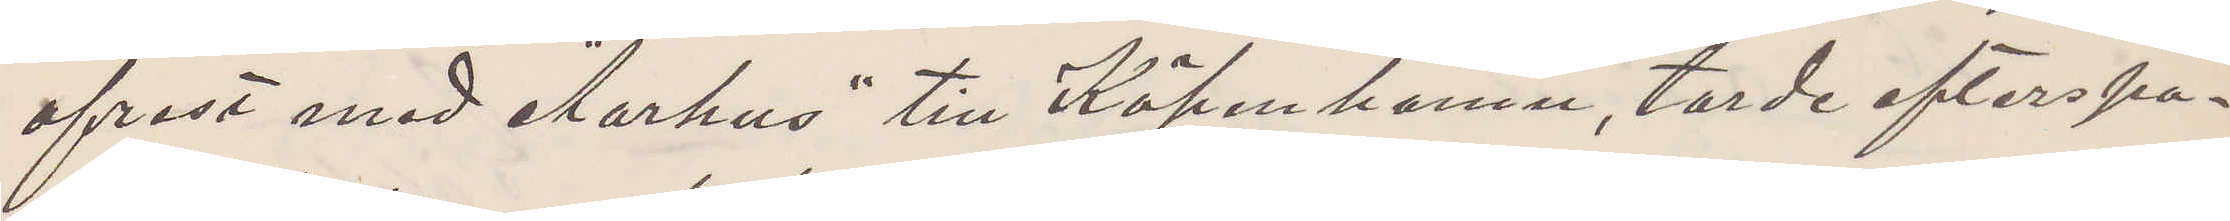afrest med "Aarhus" till Köpenhamn, torde efterspa¬
